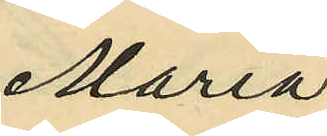Maria
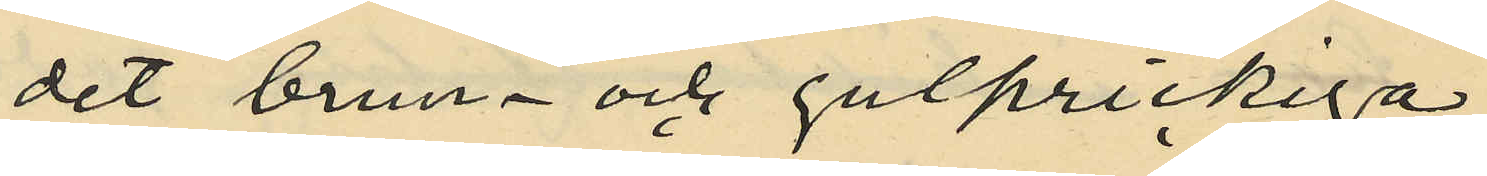det brun- och gulprickiga
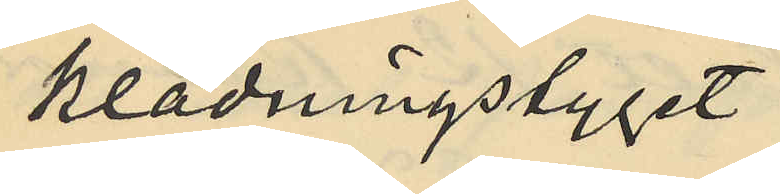klädningstyget
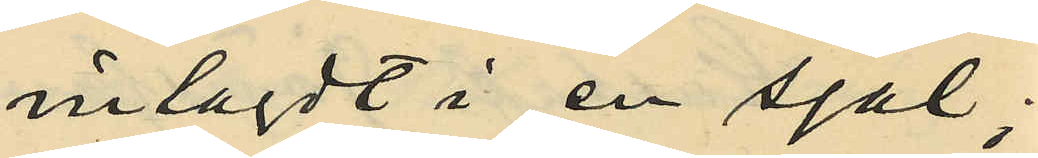inlagdt i en sjal;
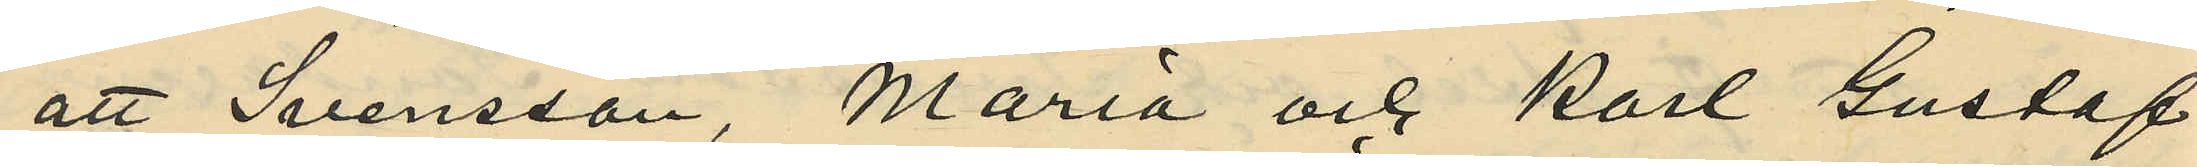att Svensson, Maria och Karl Gustaf
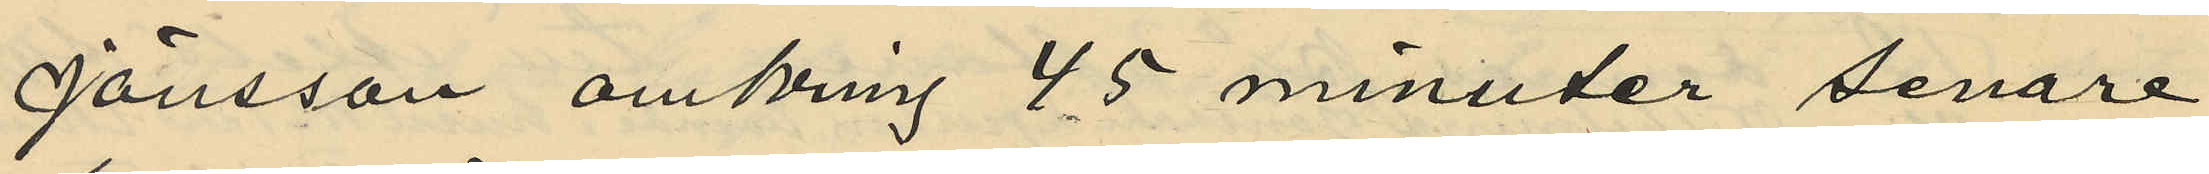Jönsson omkring 45 minuter senare
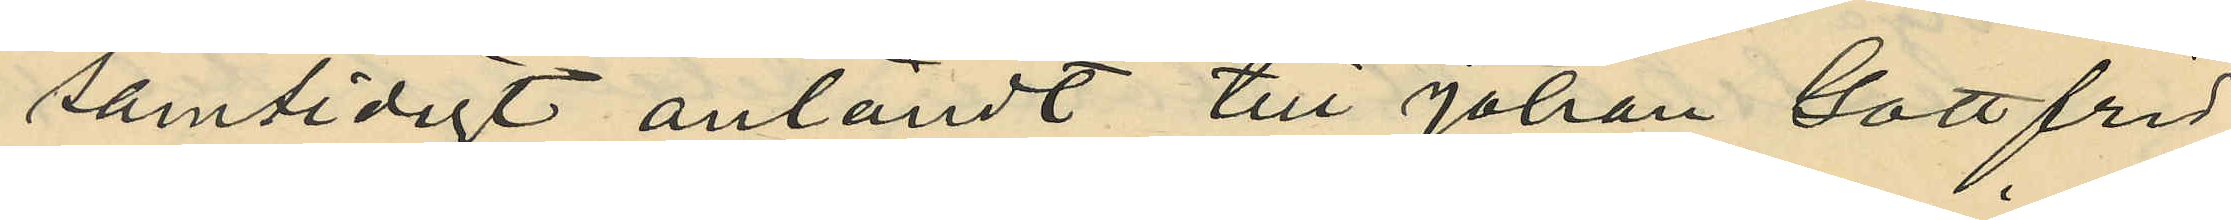samtidigt anländt till Johan Gottfrid
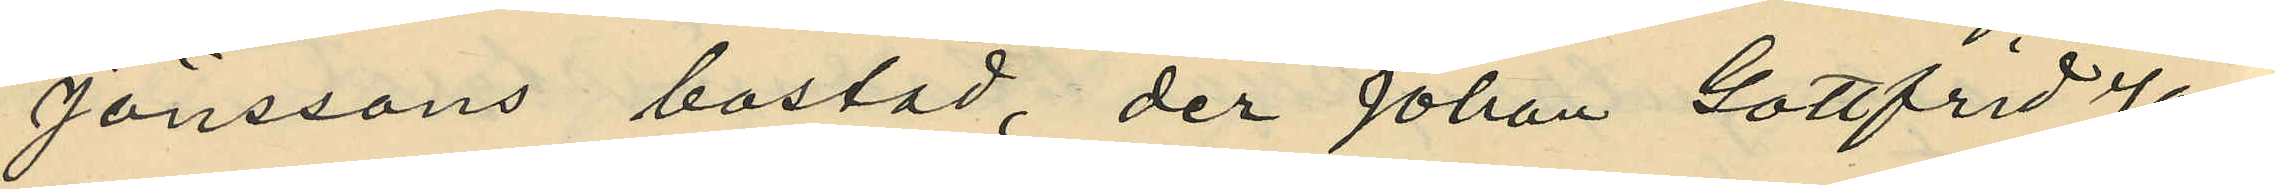Jönssons bostad, der Johan Gottfrid Jöns¬
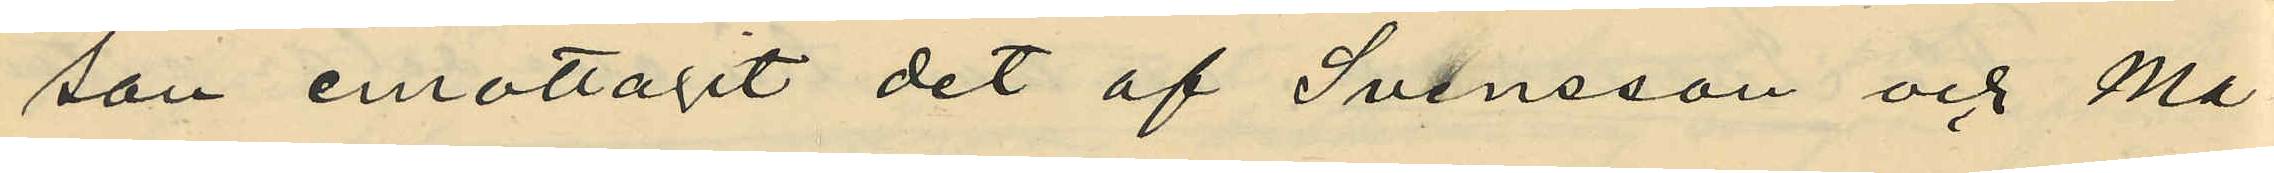son emottagit det af Svensson och Ma¬
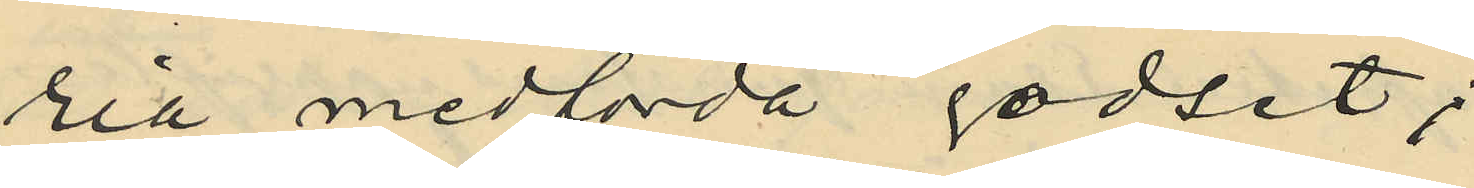ria medförda godset;
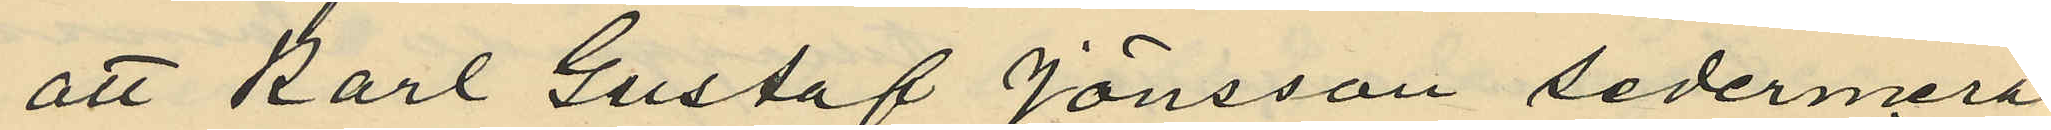att Karl Gustaf Jönsson sedermera
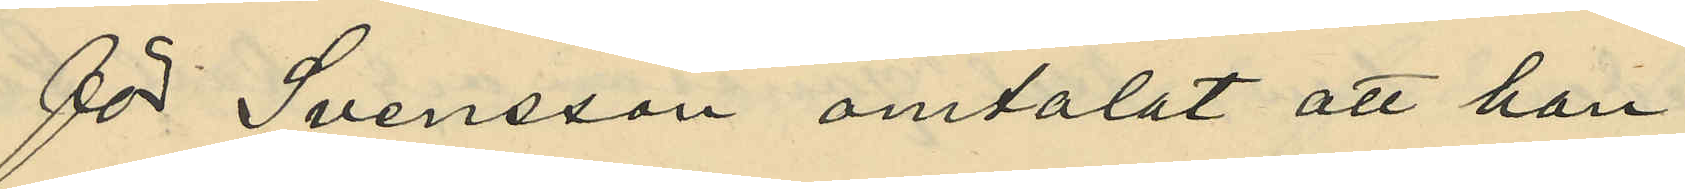för Svensson omtalat att han
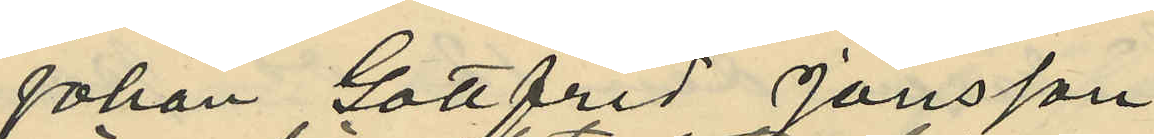Johan Gottfrid Jönsson
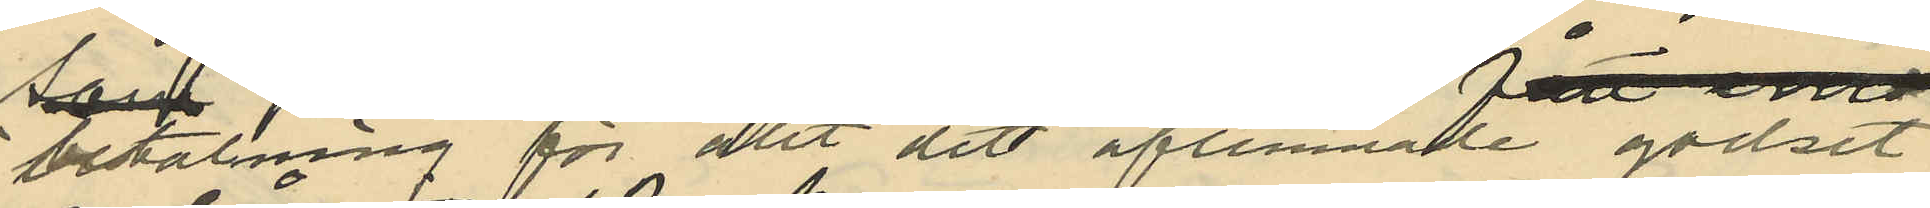i betalning för det aflemnade godset
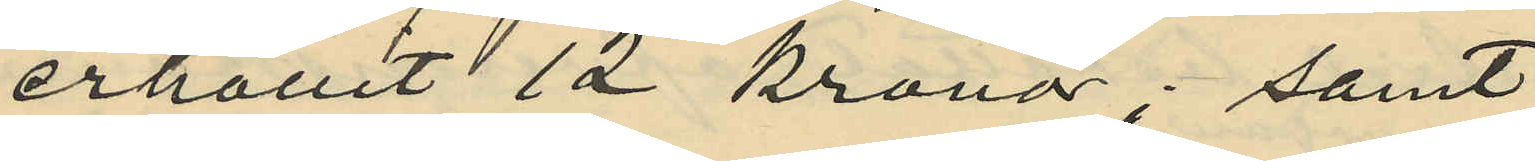erhållit 12 kronor; samt
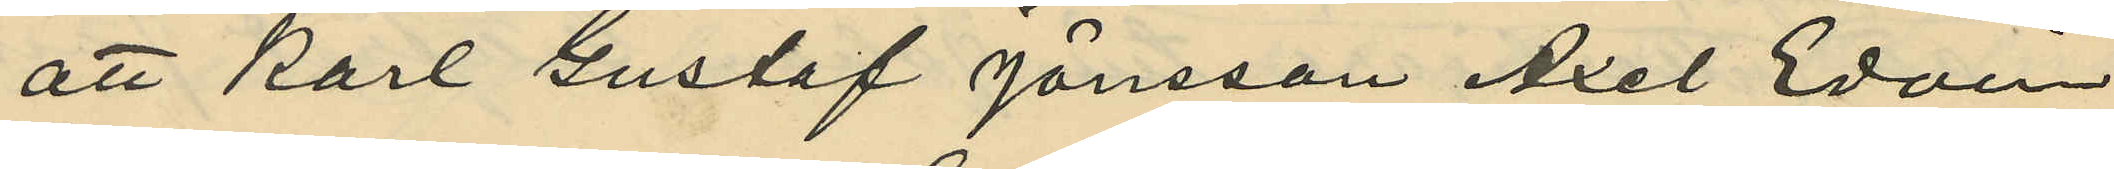att Karl Gustaf Jönsson Axel Edvin
